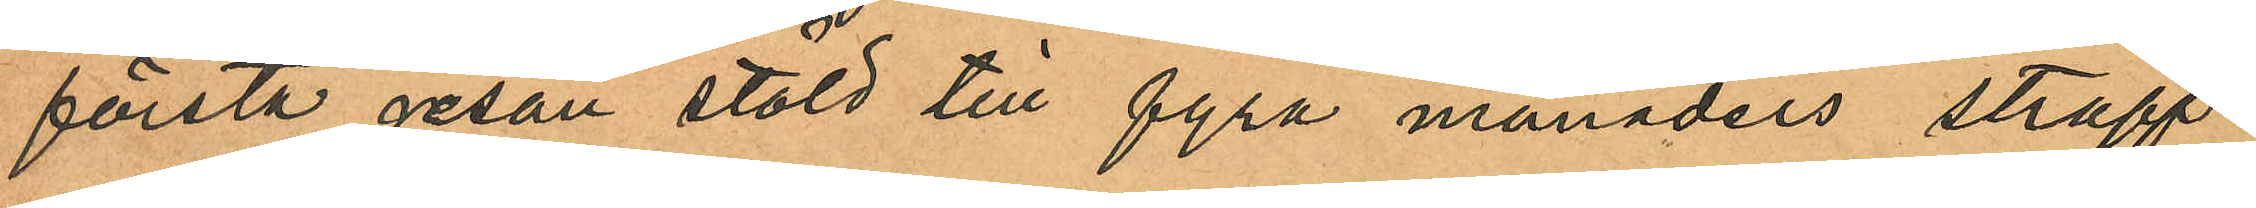första resan stöld till fyra månaders straff¬
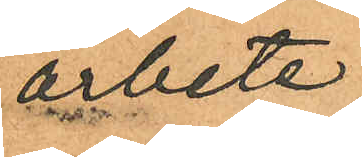arbete;
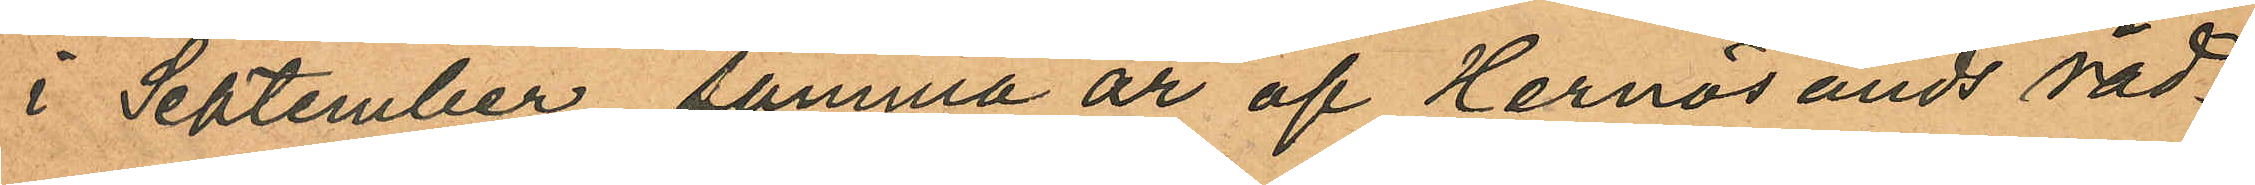i September samma år af Hernösänds råd¬
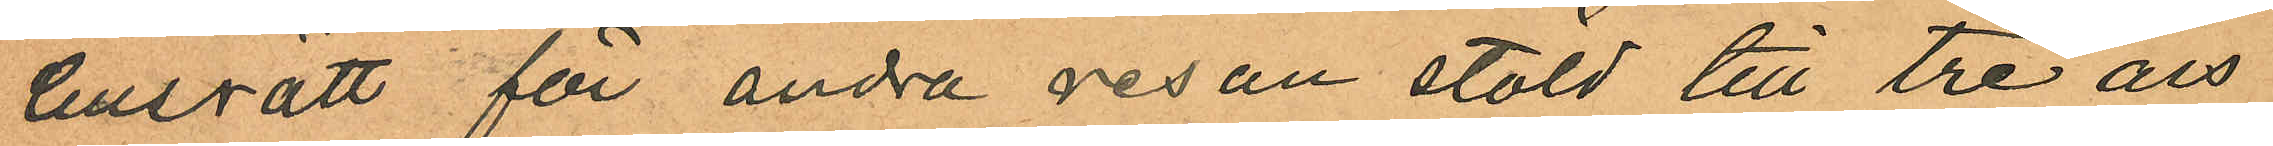husrätt för andra resan stöld till tre års
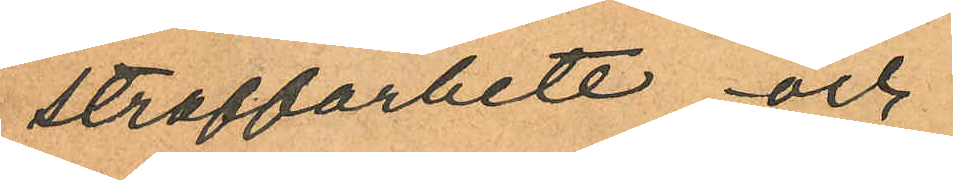straffarbete, och
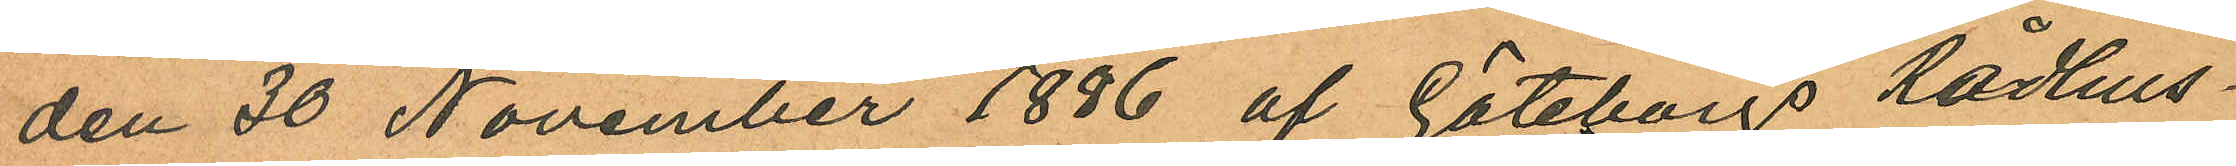den 30 November 1886 af Göteborgs Rådhus¬
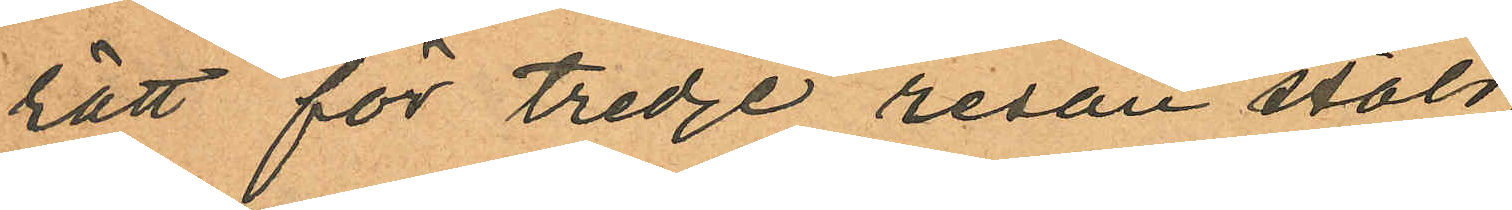rätt för tredje resan stöld
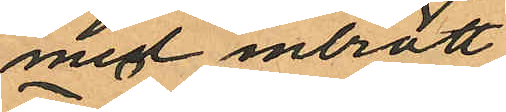med inbrott
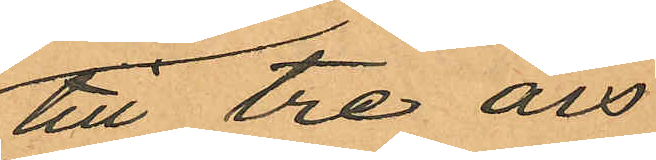till tre års
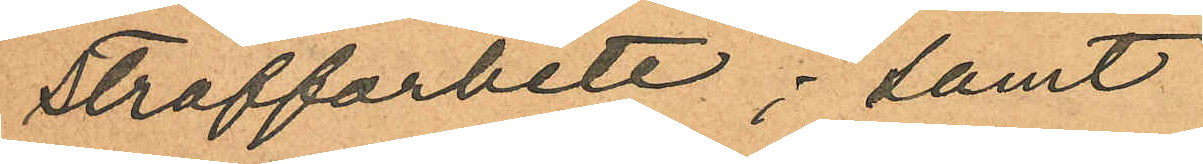straffarbete; samt
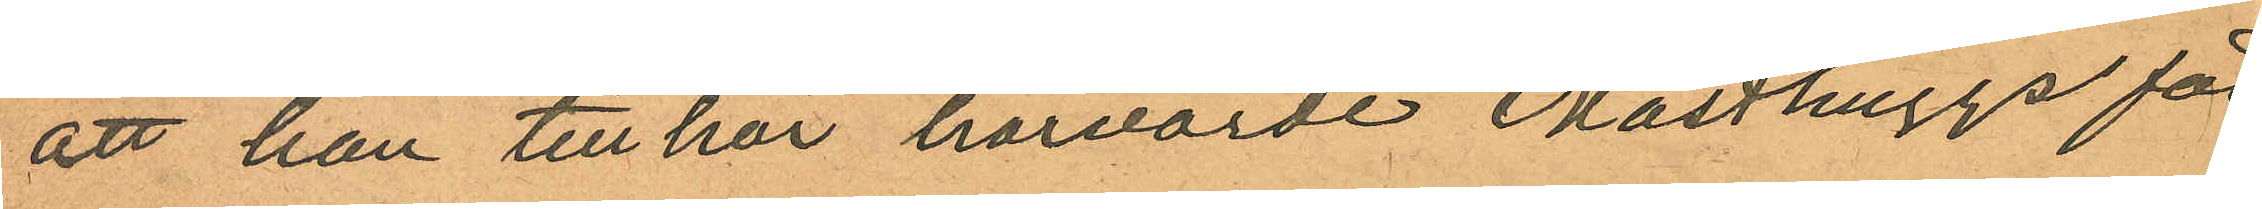att han tillhör härvarde Masthuggs för
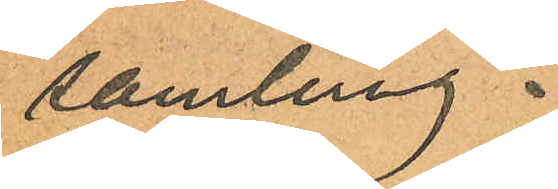samling.
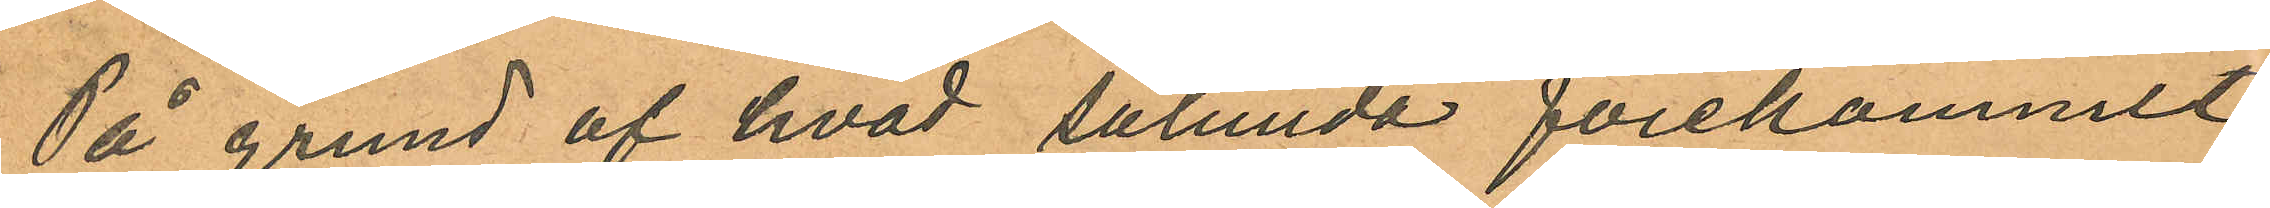På grund af hvad sålunda förekommit
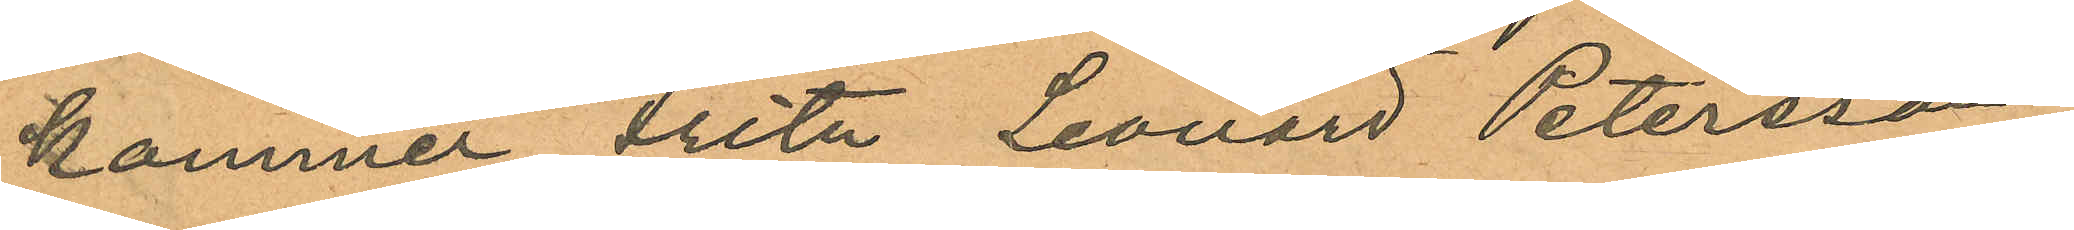kommer Fritz Leonard Petersson,
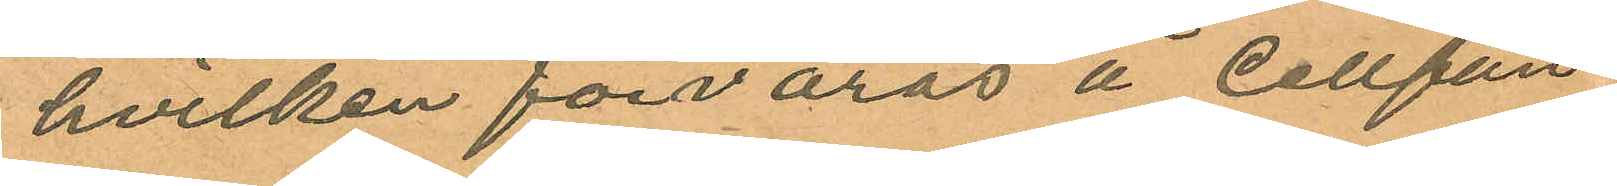hvilken förvaras å Cellfän¬
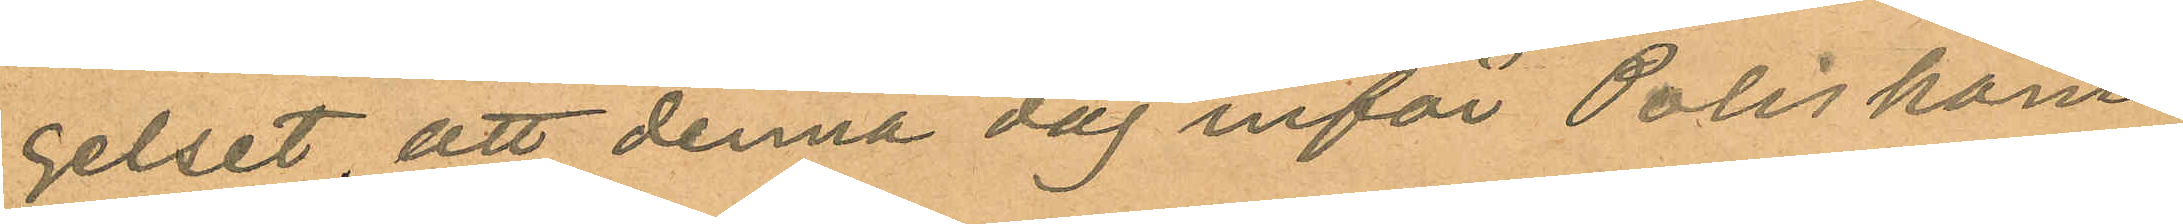gelset, att denna dag inför Poliskam¬
